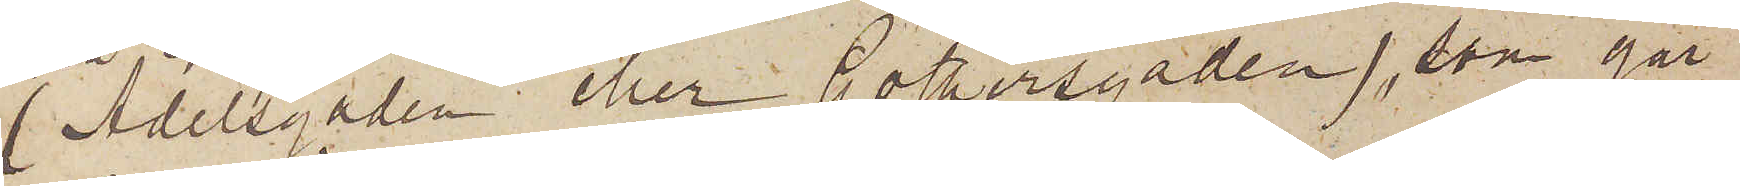(Adelsgaden eller Gothersgaden), som går
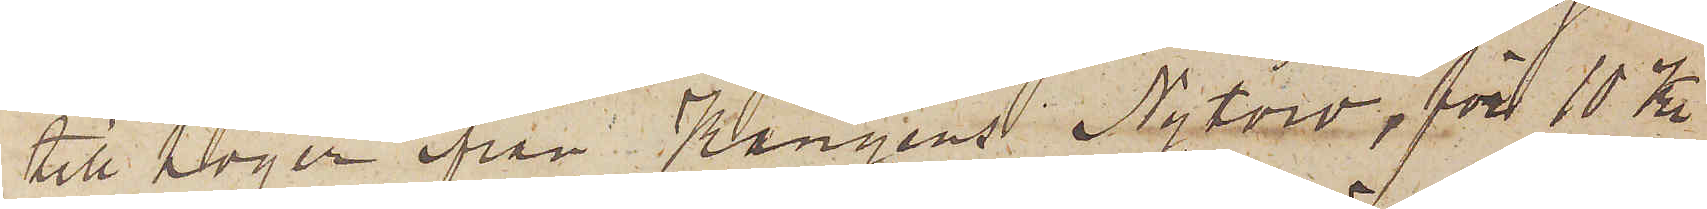till höger från Kungens Nytorv, för 10 Kr
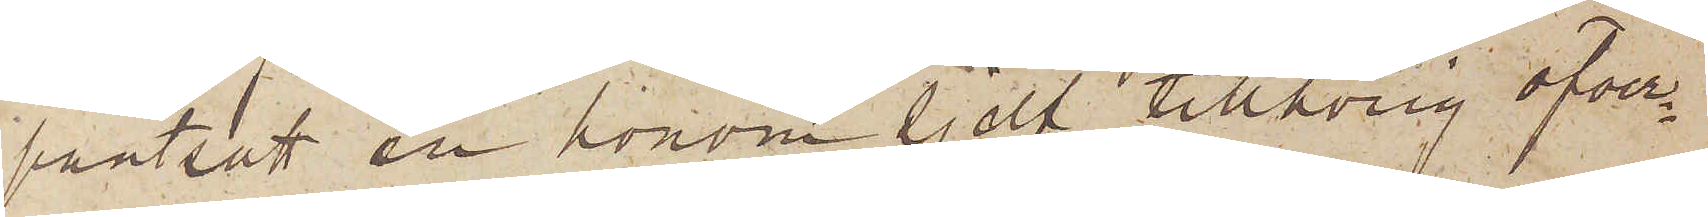pantsatt en honom sjelf tillhörig öfver¬
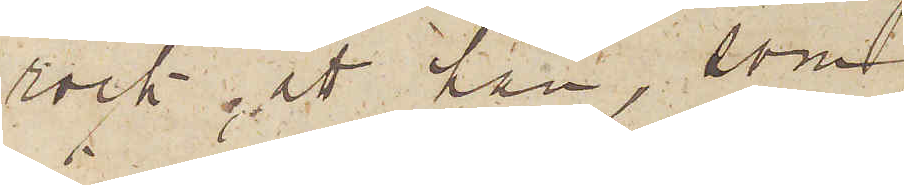rock; att han, som
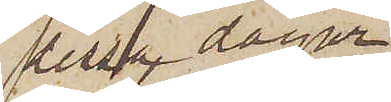dessa dagar
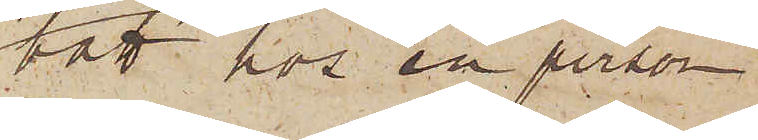bott hos en person
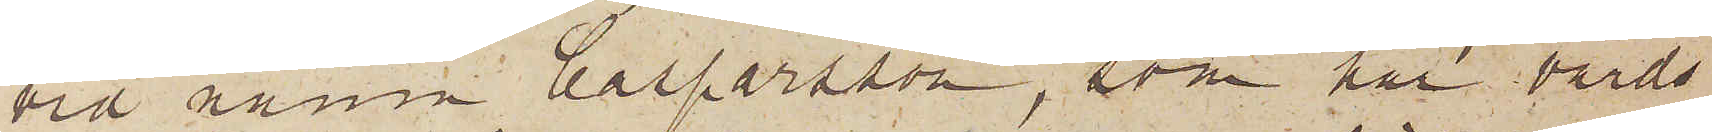vid namn Casparsson, som har värds¬
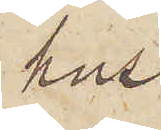hus
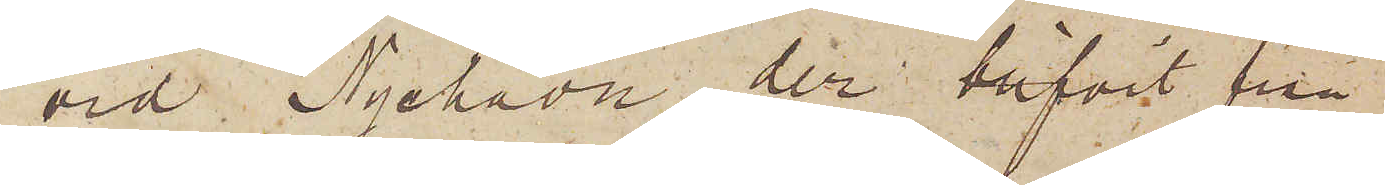vid Nyehavn, der blifvit från¬
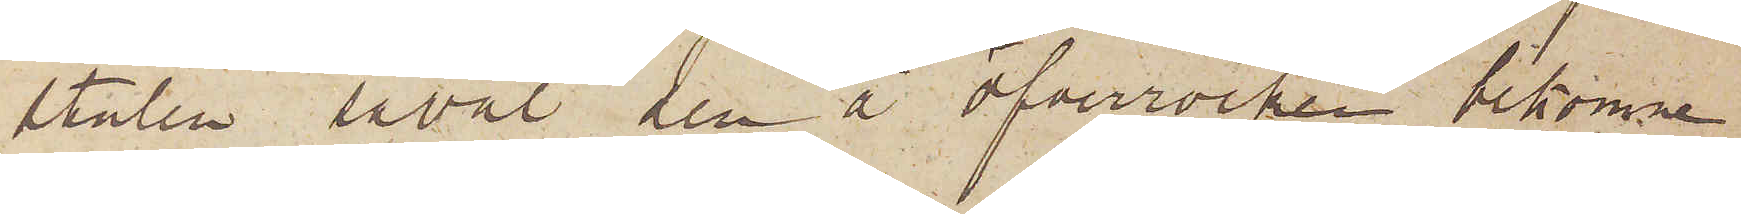stulen såväl den å öfverrocken bekomne
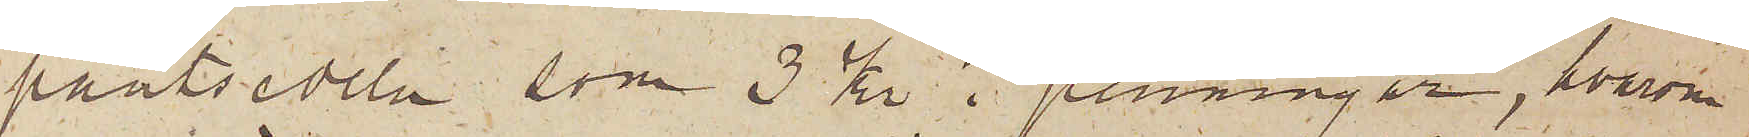pantsedeln, som 3 kr i penningar, hvarom
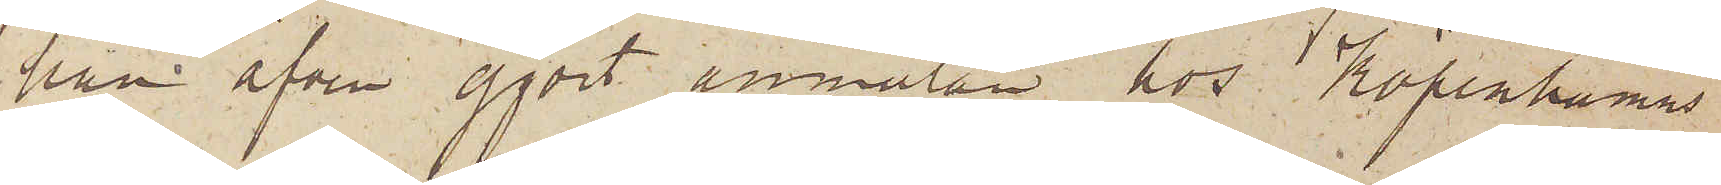han äfven gjort anmälan hos Köpenhamns
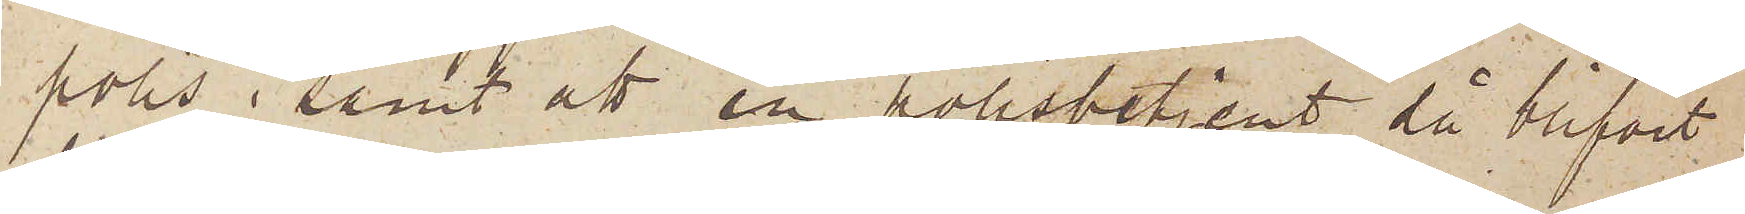polis; samt att en polisbetjent, då blifvit
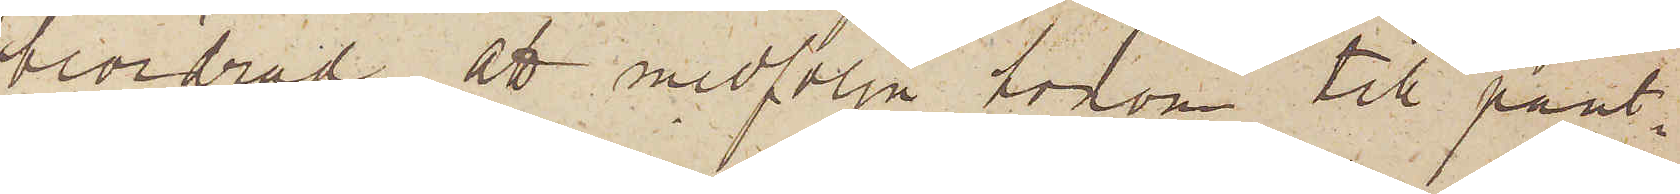beordrad att medfölja honom till pant¬
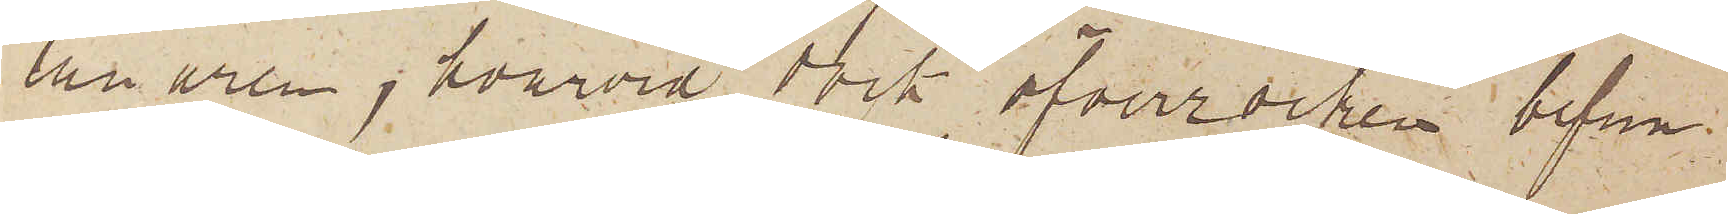lånaren, hvarvid dock öfverrocken befun¬
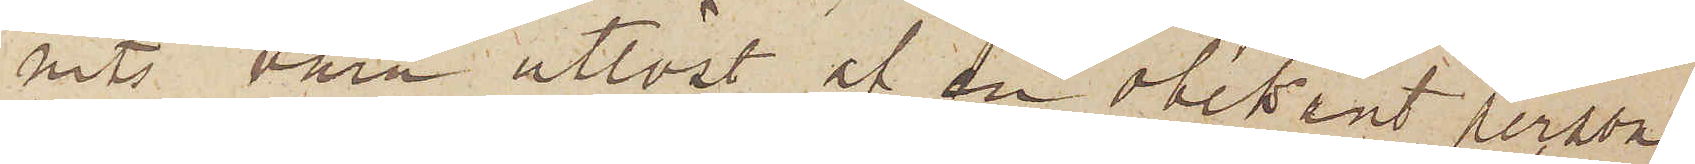nits vara utlöst af en obekant person
